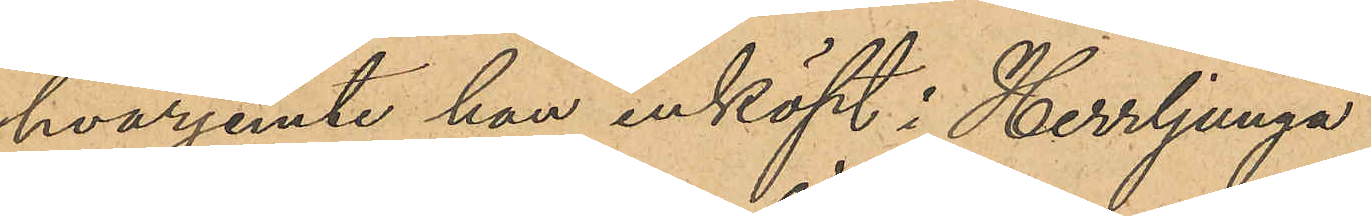hvarjemte han inköpt i Herrljunga
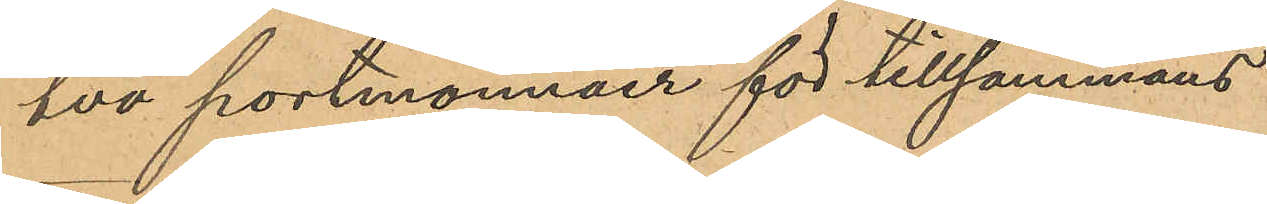två portmonnäer för tillsammans
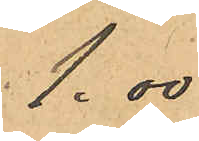1,00
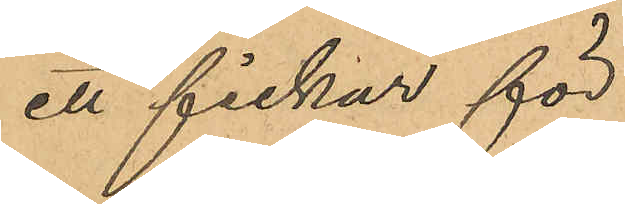ett fickur för
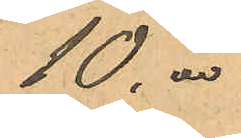10,00
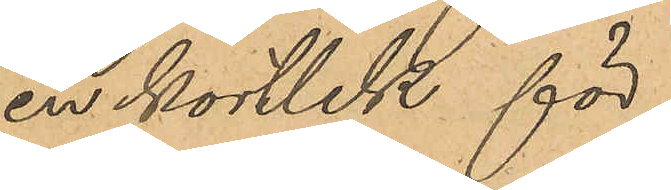en kortlek för
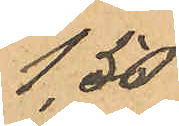1,50.
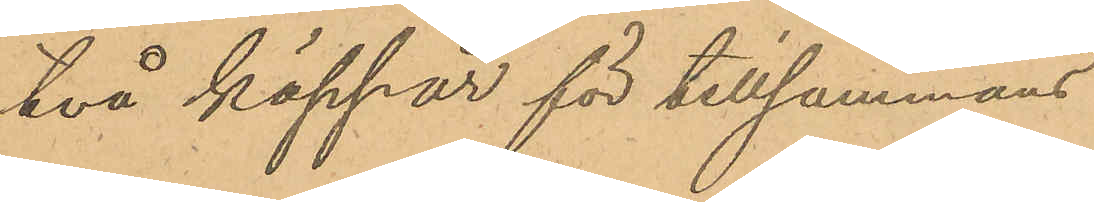två käppar för tillsammans
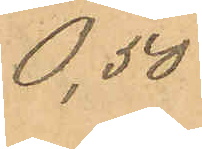0,50
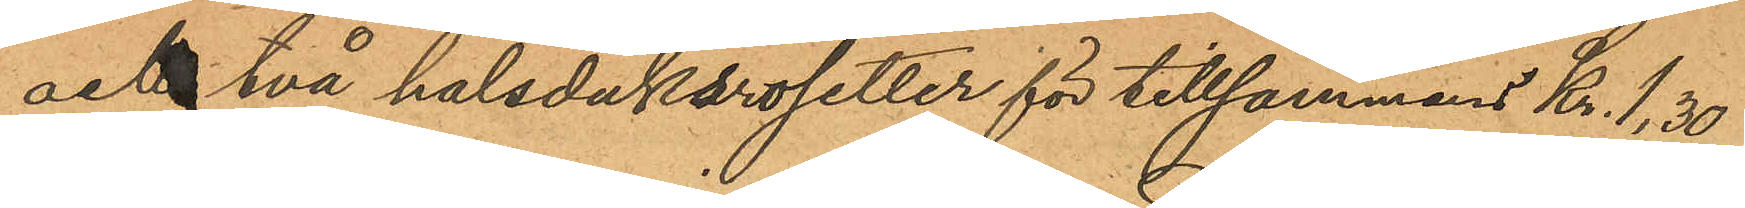och två halsduksrosetter för tillsammans Kr. 1,30
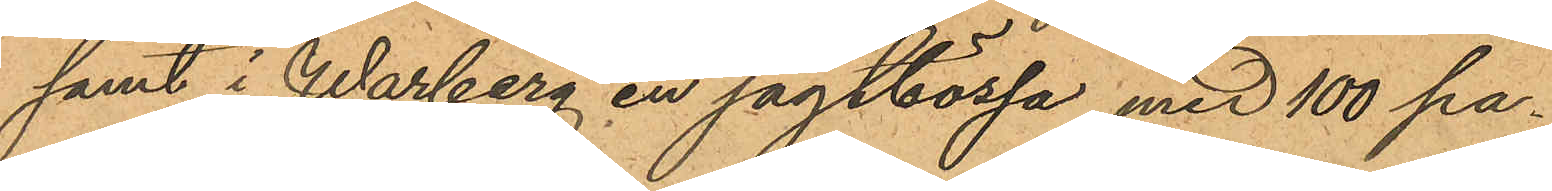samt i Warberg en jagtbössa med 100 pa¬
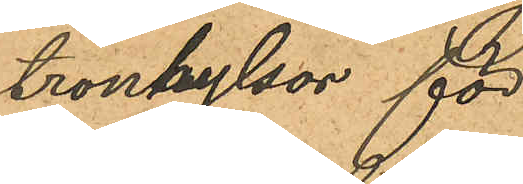tronhylsor för
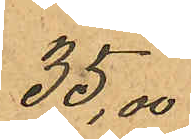35,00
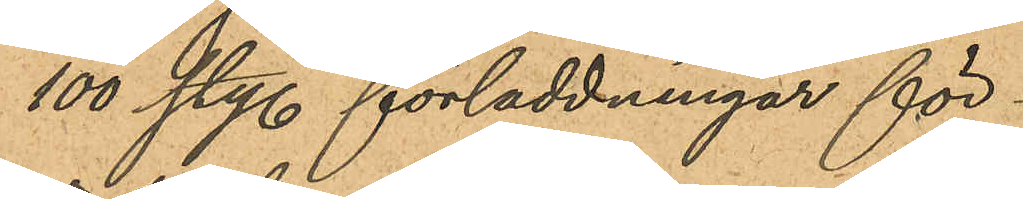100 sty. förladdningar för
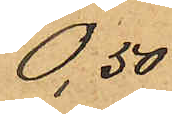0,50
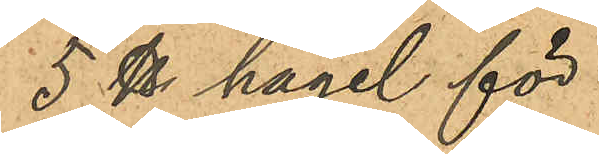5 ℔ hagel för
